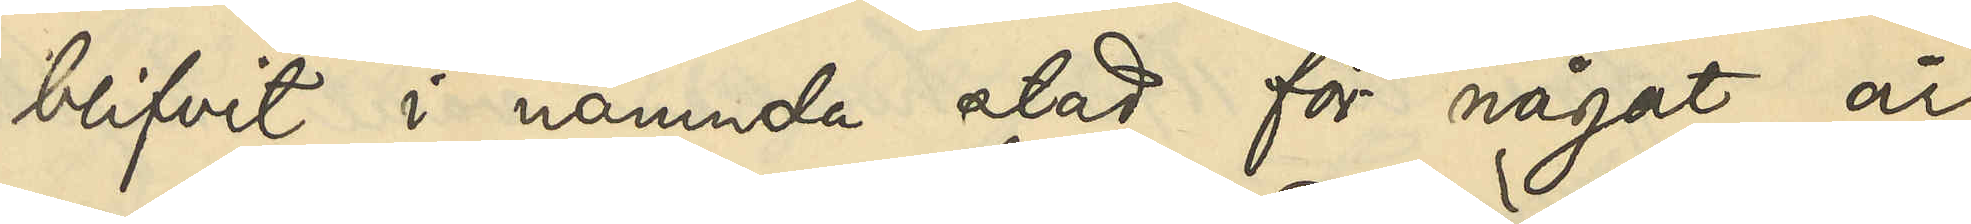blifvit i nämnda stad för något år
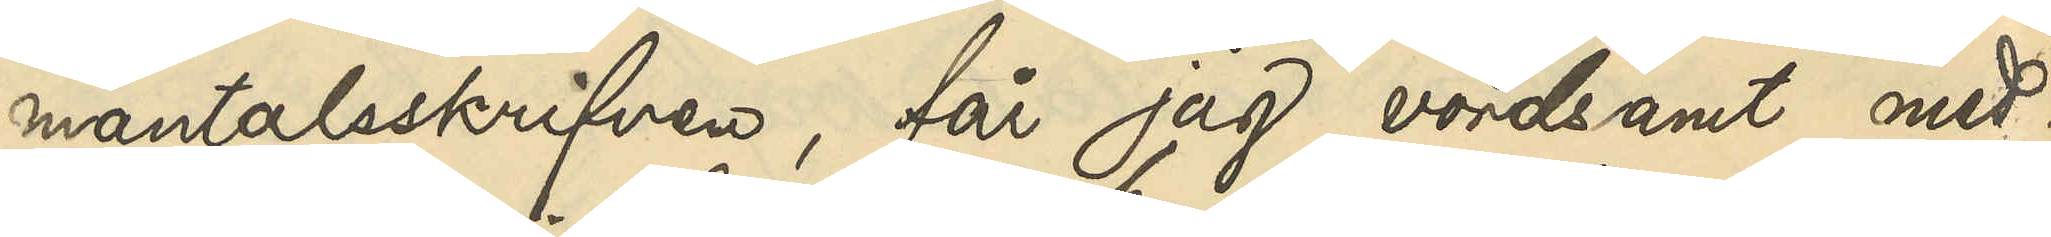mantalsskrifven, får jag vördsamt med¬
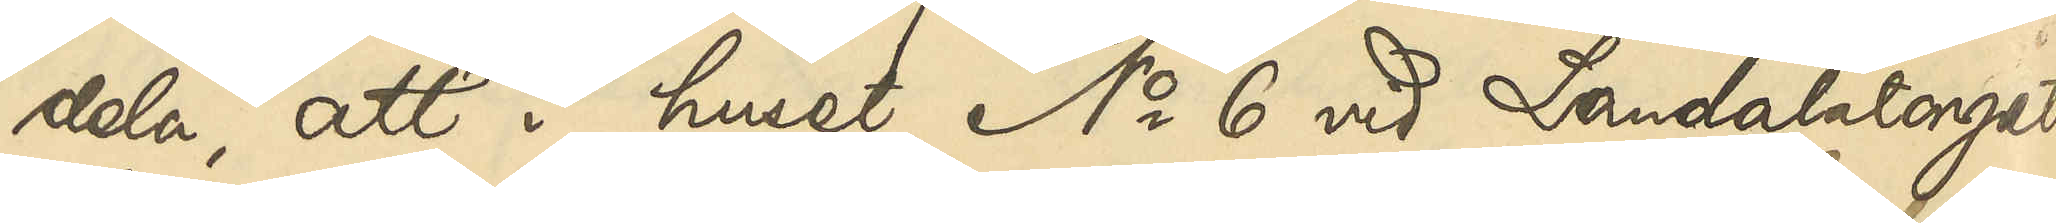dela, att i huset No 6 vid Landalatorget
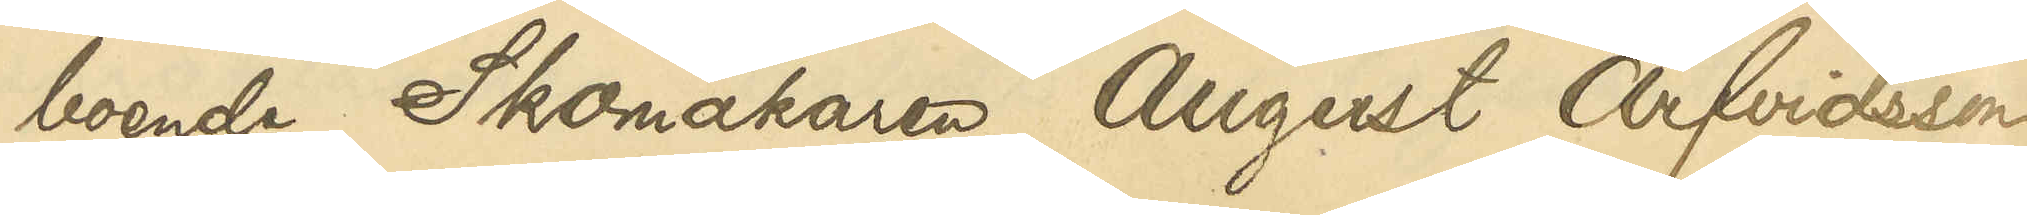boende Skomakaren August Arfvidsson,
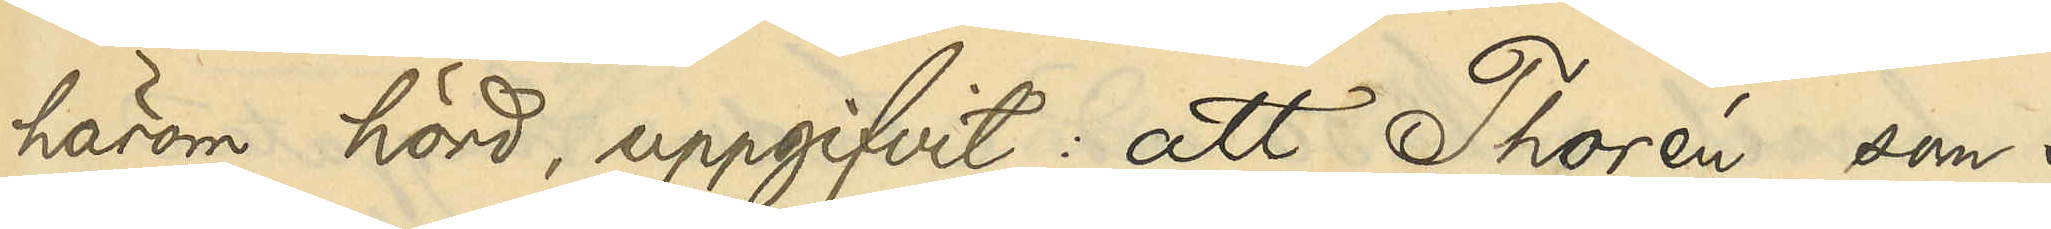härom hörd, uppgifvit: att Thorén, som i
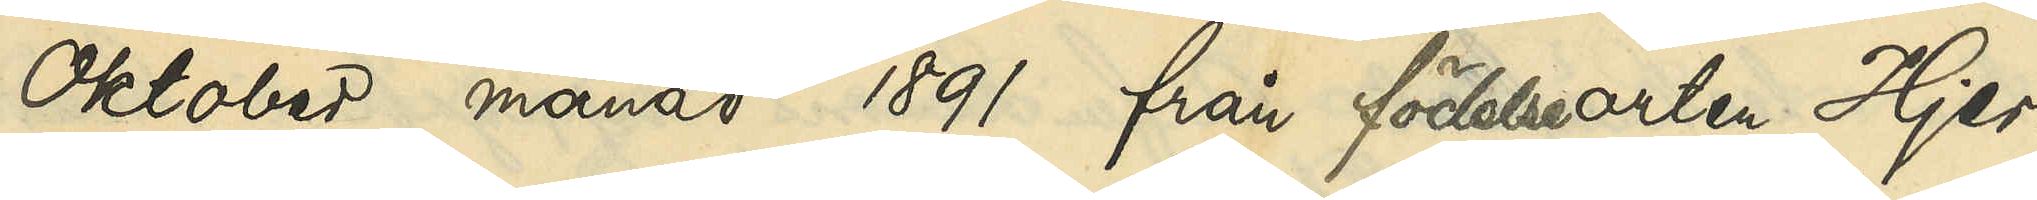Oktober månad 1891 från födelseorten, Hjer¬
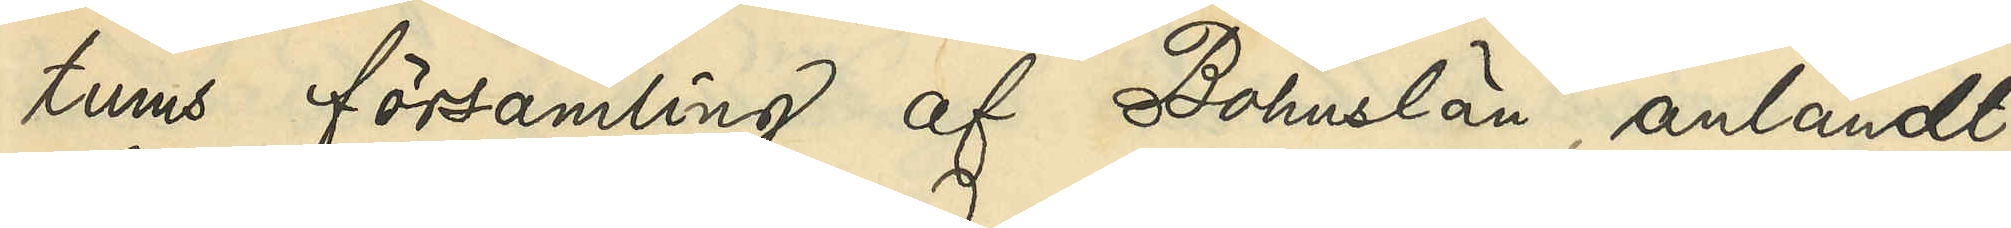tums församling af Bohuslän, anländt
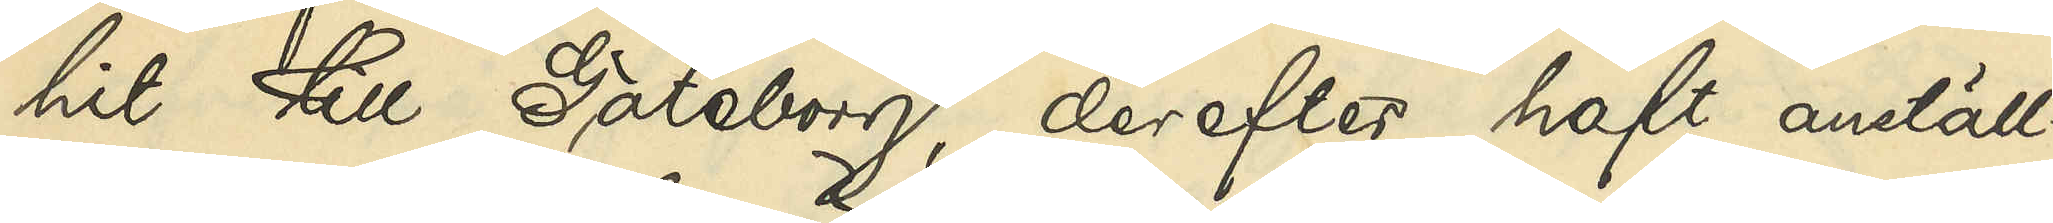hit till Göteborg, derefter haft anställ¬
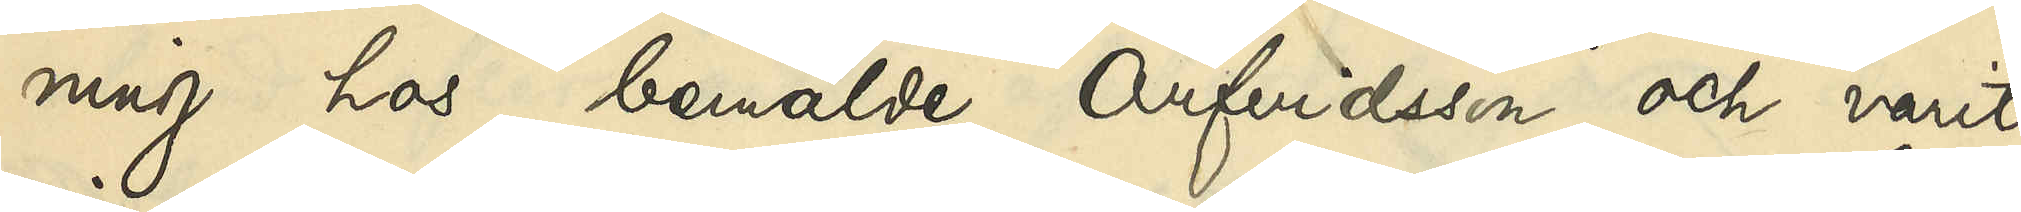ning hos bemälde Arfvidsson och varit
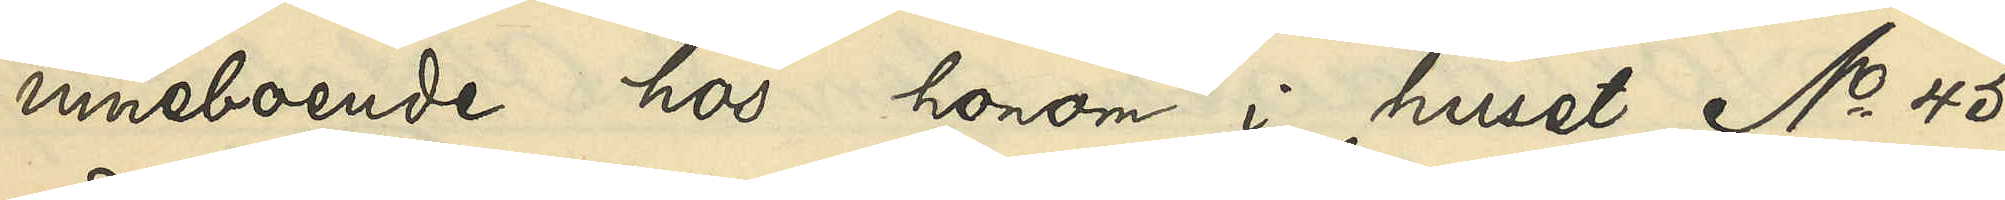inneboende hos honom i huset No 45
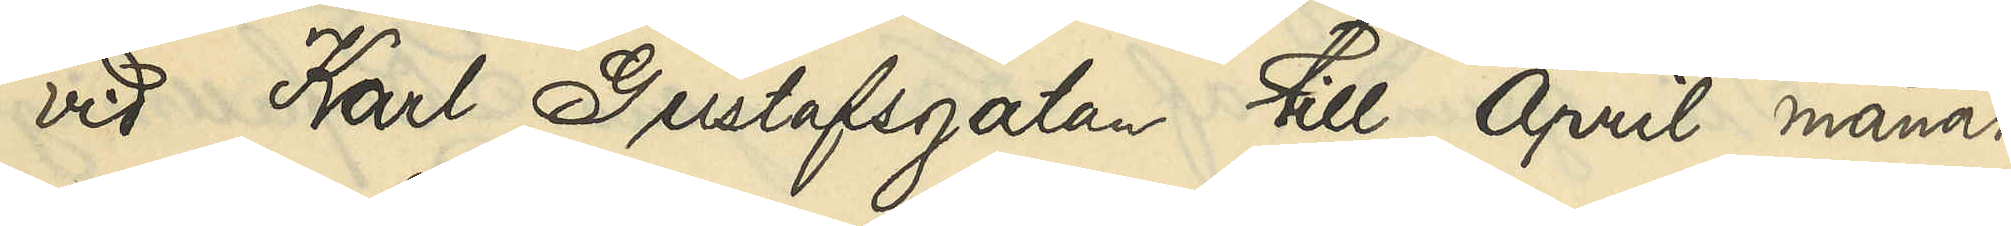vid Karl Gustafsgatan till April månad
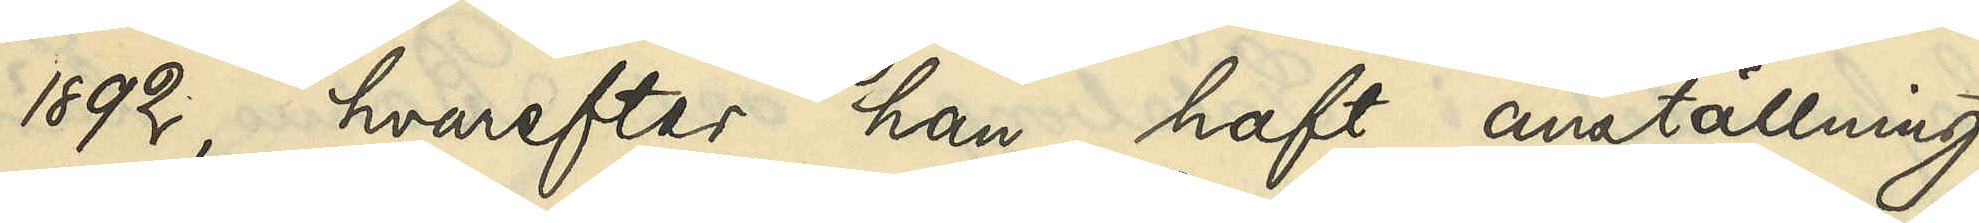1892, hvarefter han haft anställning
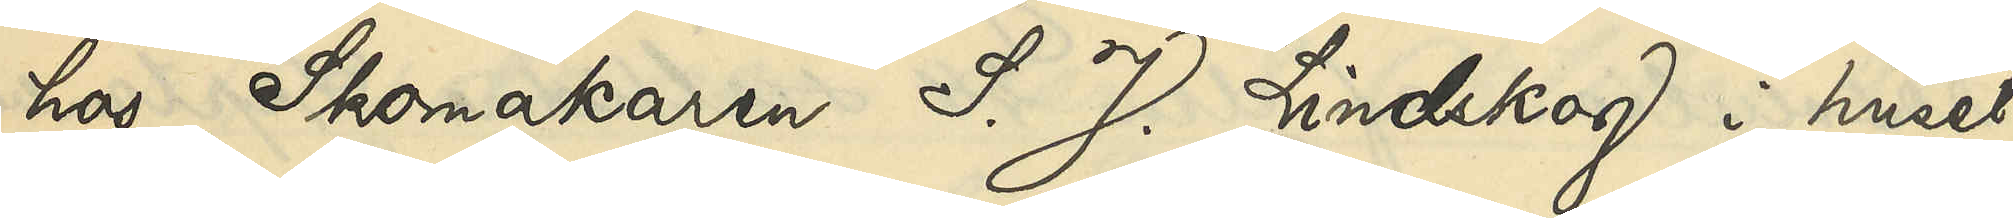hos Skomakaren S. J. Lindskog i huset
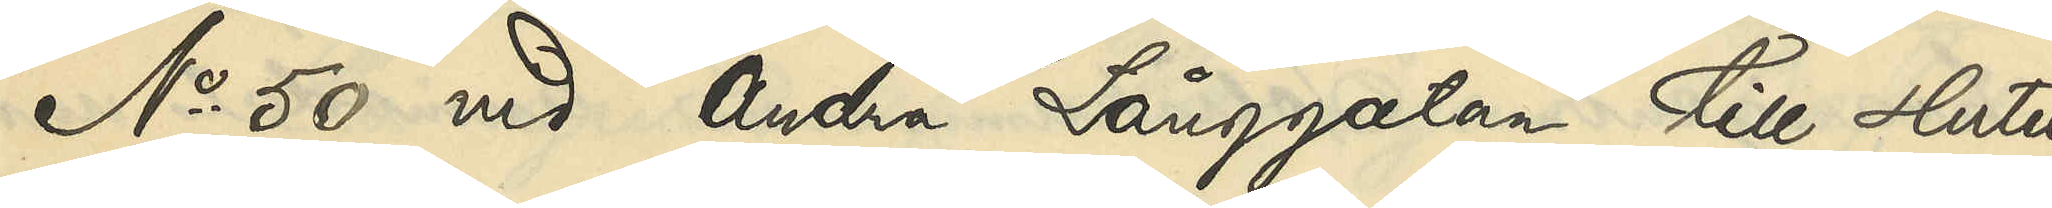No 50 vid Andra Långgatan till slutet
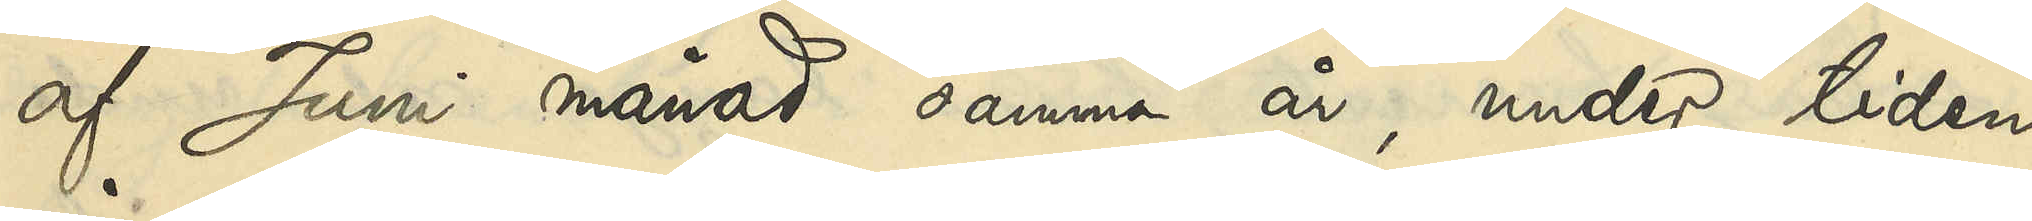af Juni månad samma år, under tiden
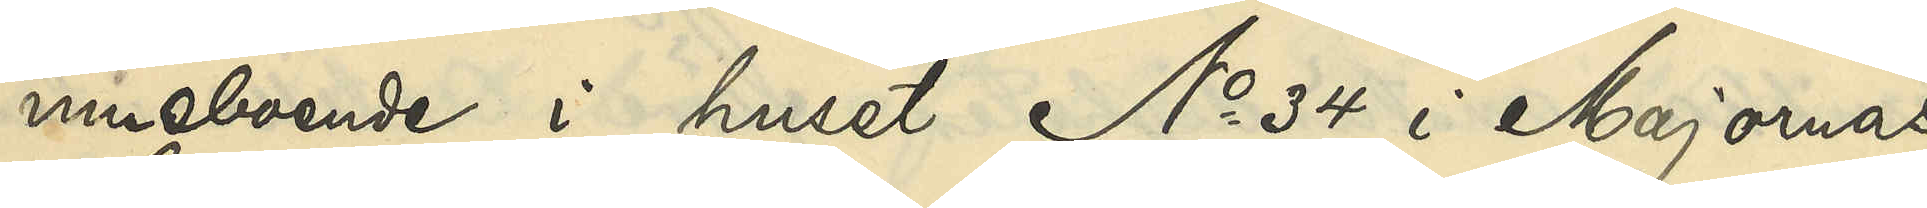inneboende i huset No 34 i Majornas
